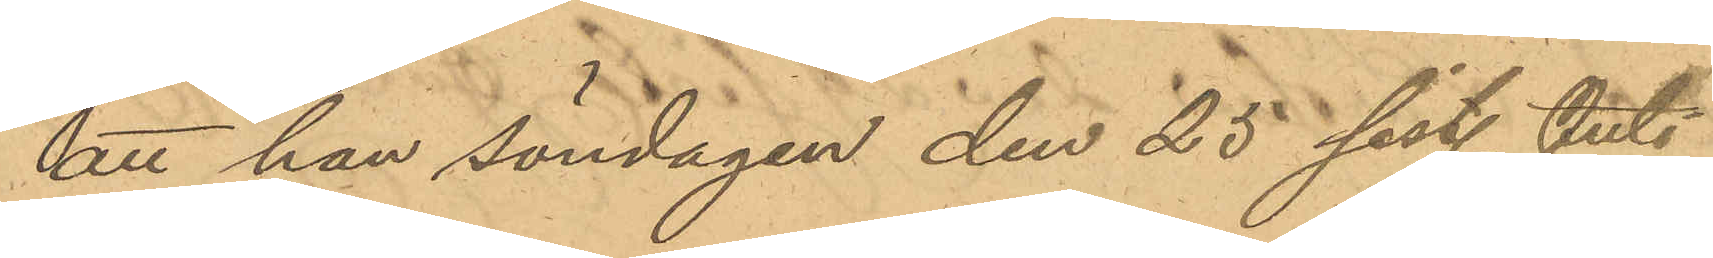att han söndagen den 25 sist. Juli
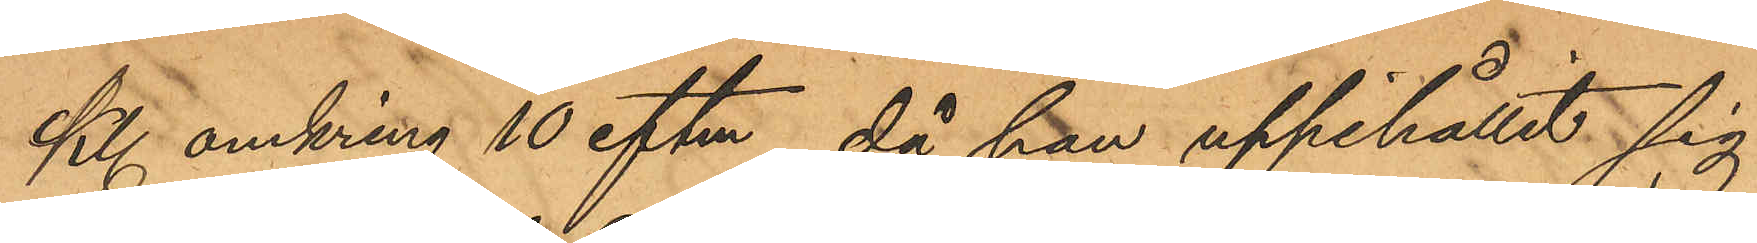Kl omkring 10 eftm, då han uppehållit sig
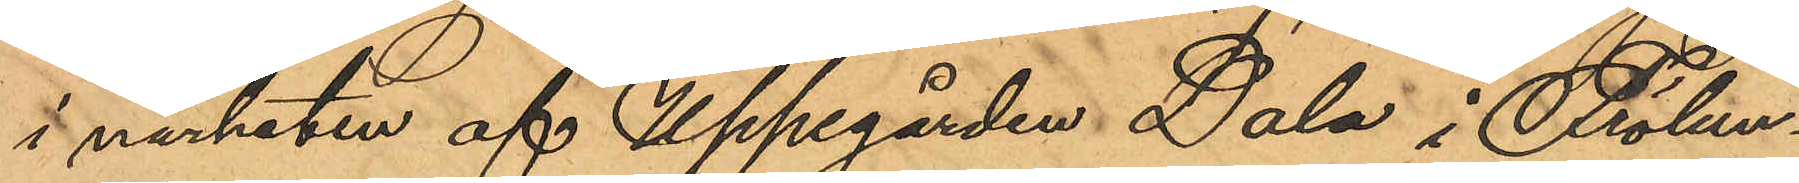i närheten af Uppegården Dala i Frölun¬
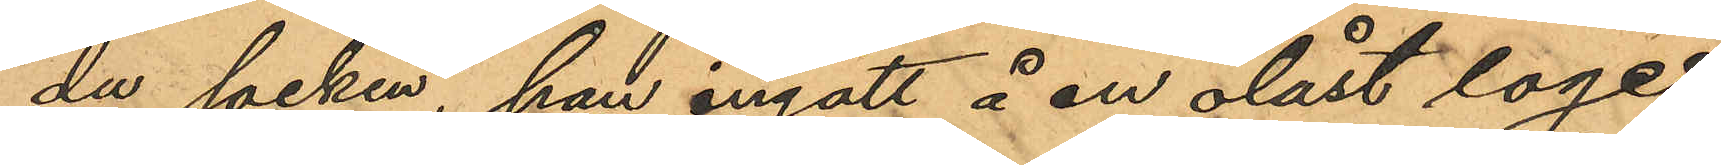du socken, han ingått å en olåst loge
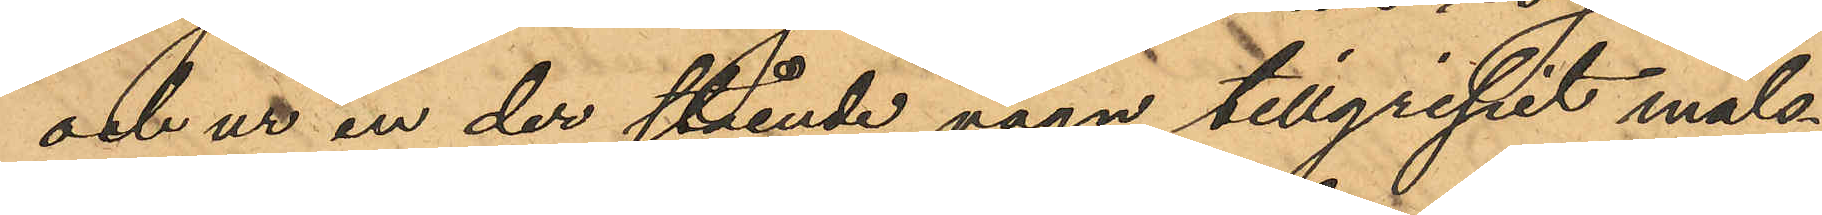och ur en der stående vagn tillgripit måls¬
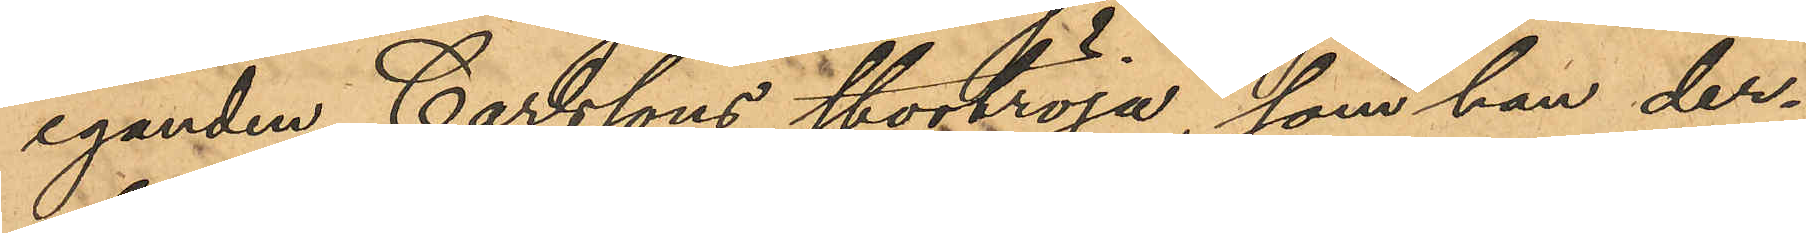eganden Carlssons stortröja, som han der¬
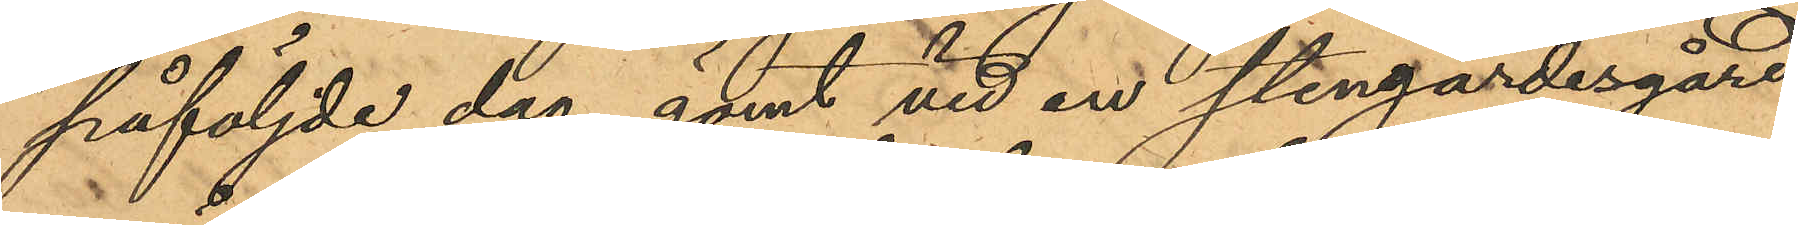påföljde dag gömt vid en stengärdesgård
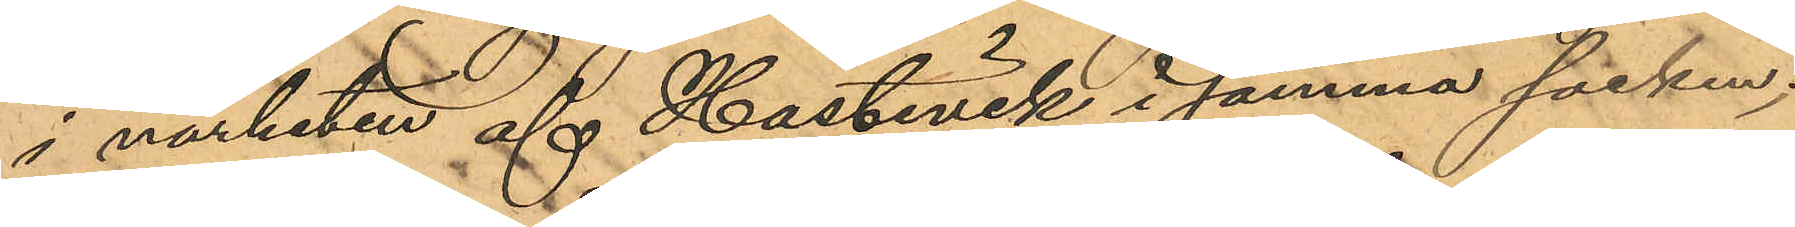i närheten af Hästevik i samma socken;
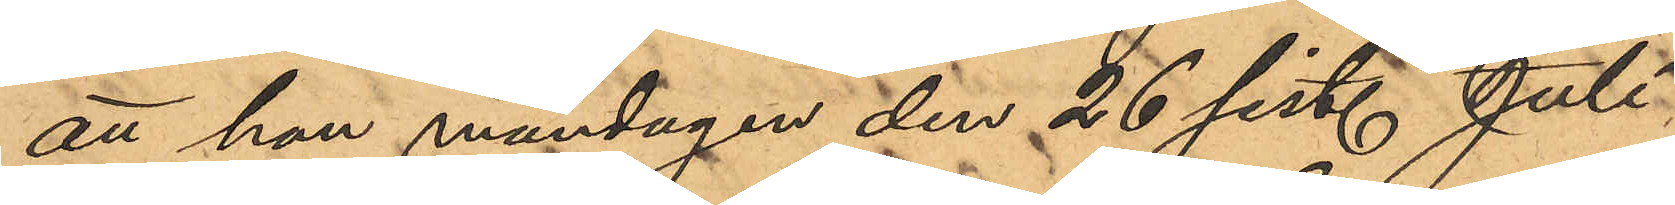att han måndagen den 26 sist. Juli
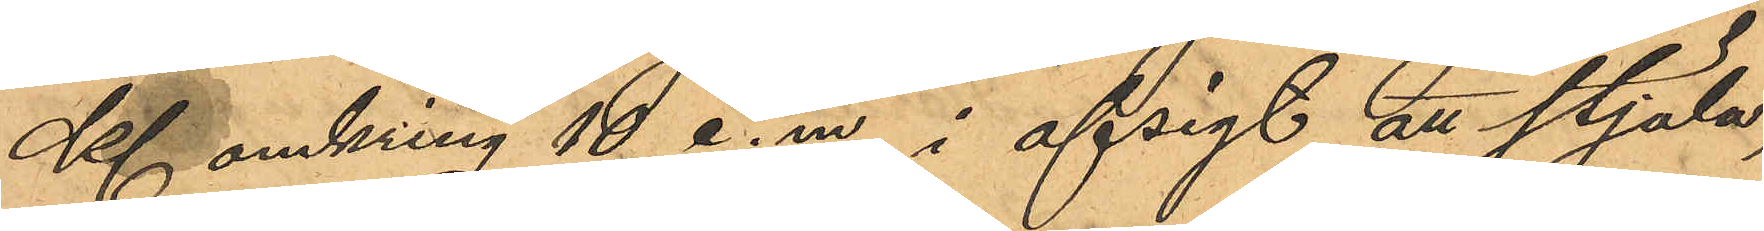Kl omkring 10 e. m. i afsigt att stjäla,
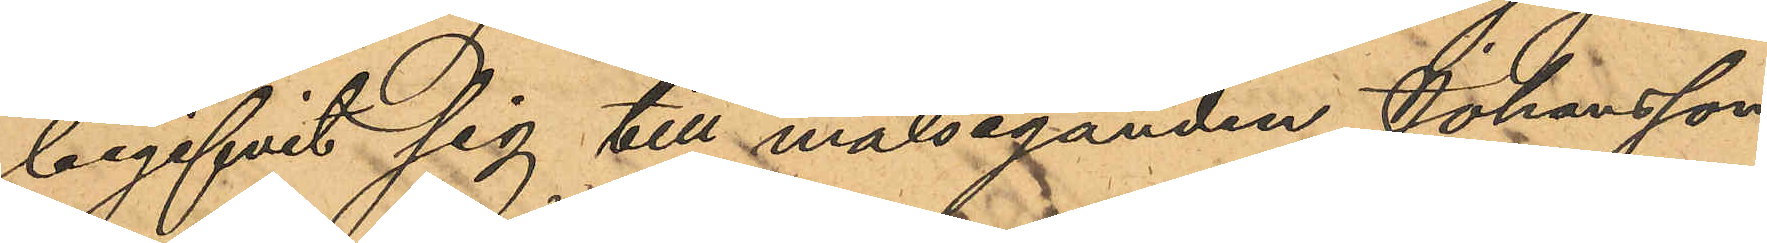begifvit sig till målseganden Johansson
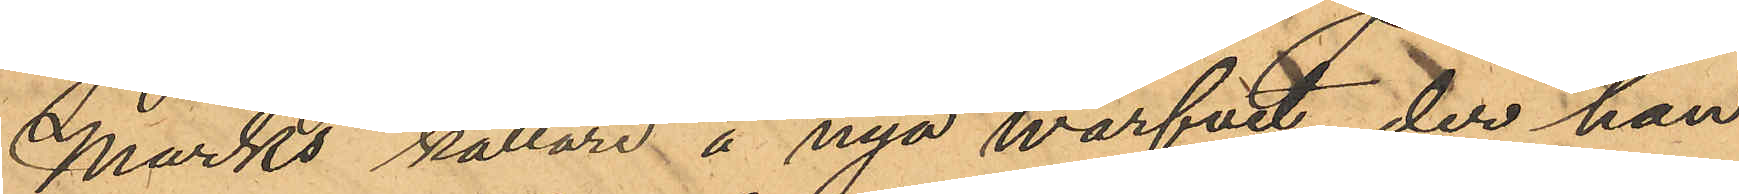Marks källare å nya Warfvet, der han
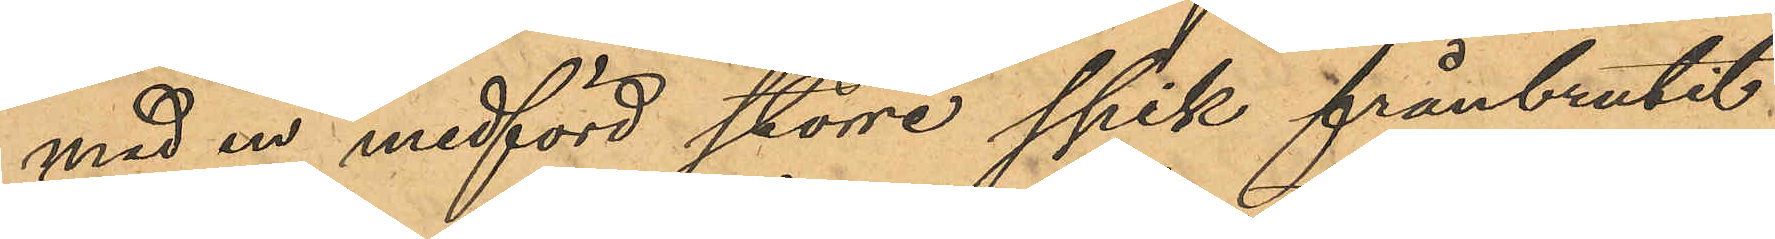med en medförd större spik frånbrutit
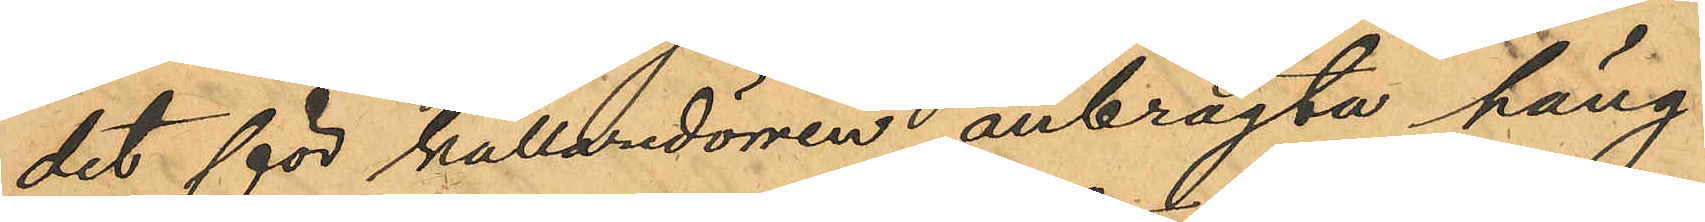det för källaredörren anbragta häng¬
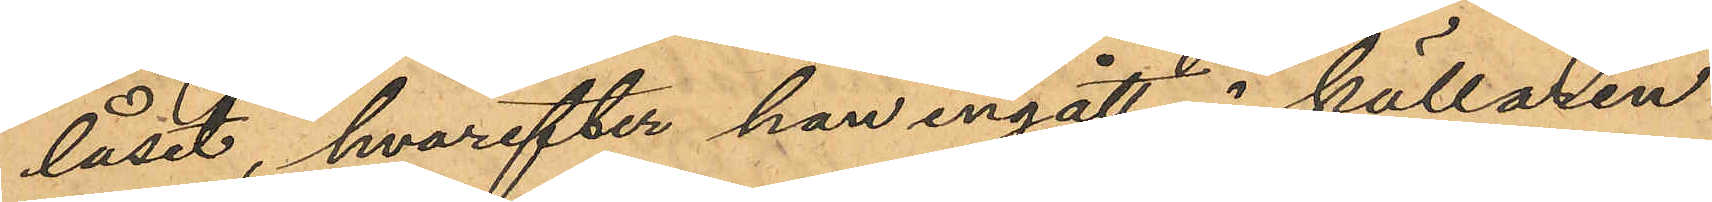låset, hvarefter han ingått i källaren
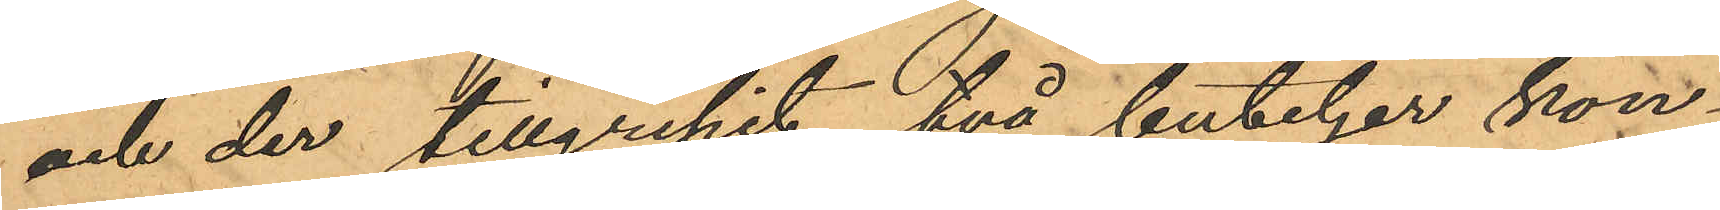och der tillgripit två buteljer kon¬
